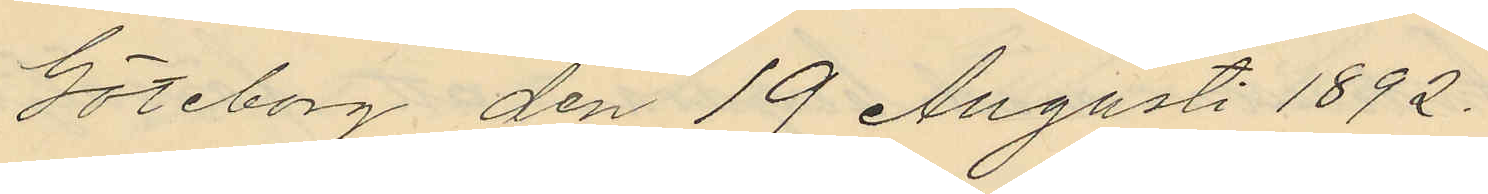Göteborg den 19 Augusti 1892.
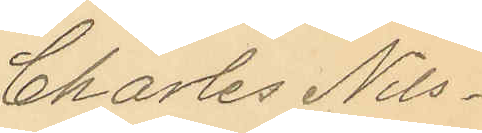Charles Nils¬
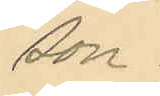son.
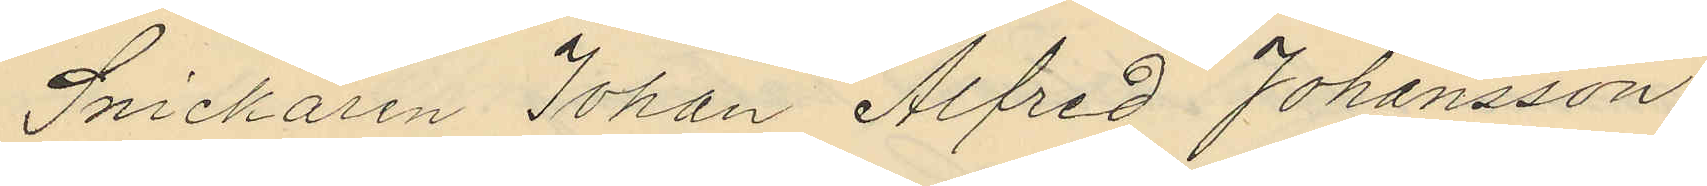Snickaren Johan Alfred Johansson
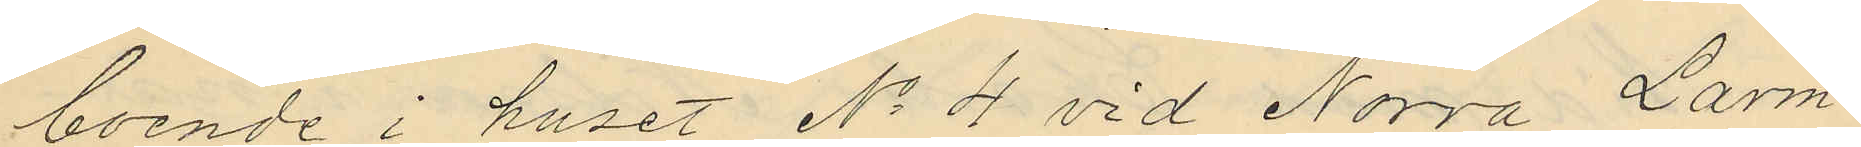boende i huset No 4 vid Norra Larm¬
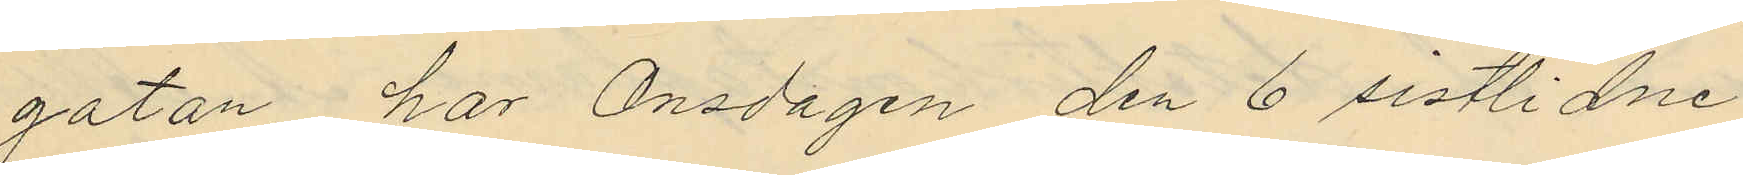gatan har Onsdagen den 6 sistlidne
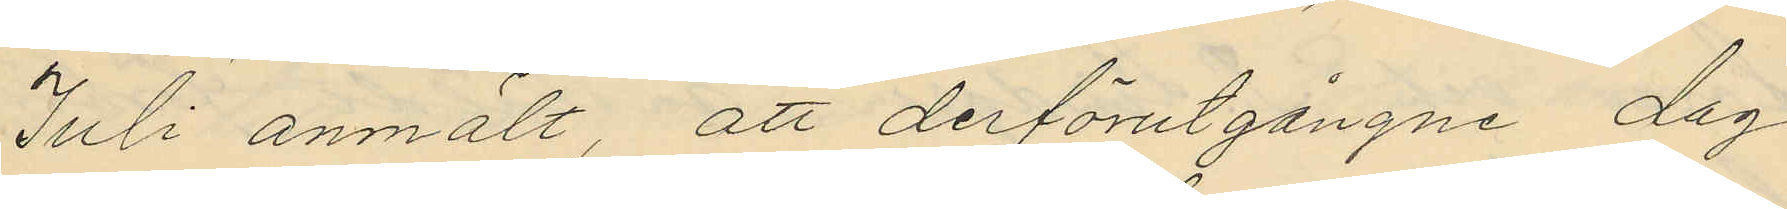Juli anmält, att derförutgångne dag
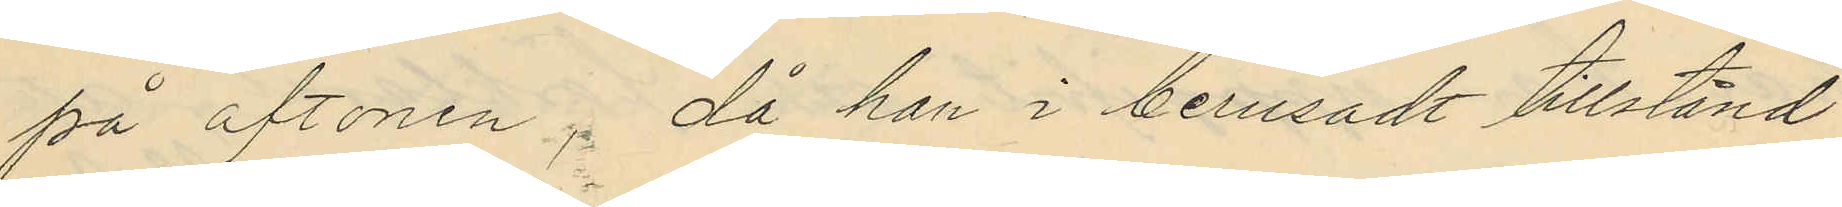på aftonen, då han i berusadt tillstånd
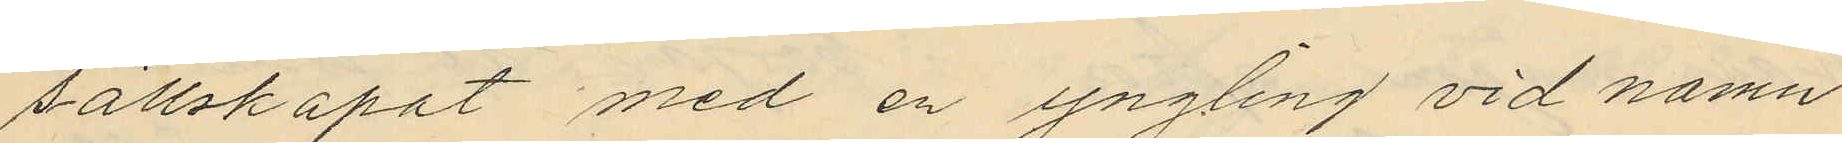sällskapat med en yngling vid namn
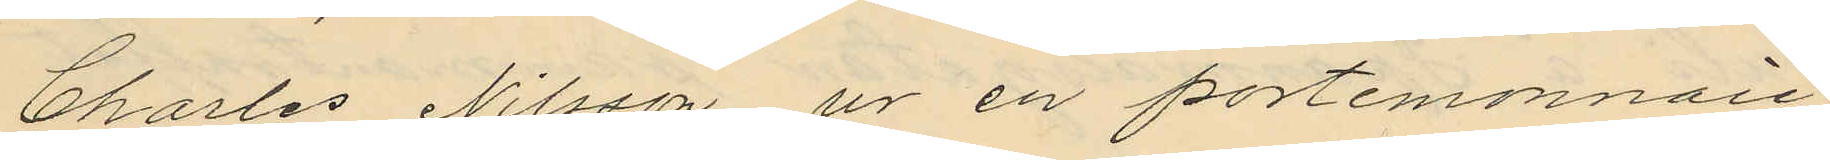Charles Nilsson ur en portemonnaie
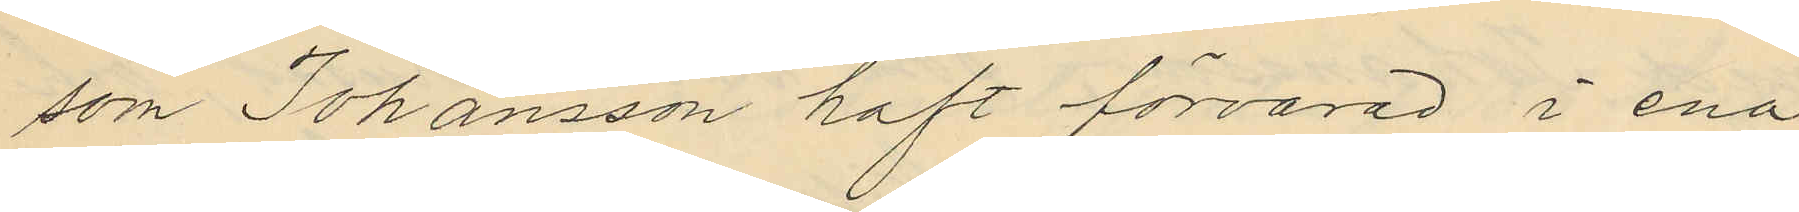som Johansson haft förvarad i ena
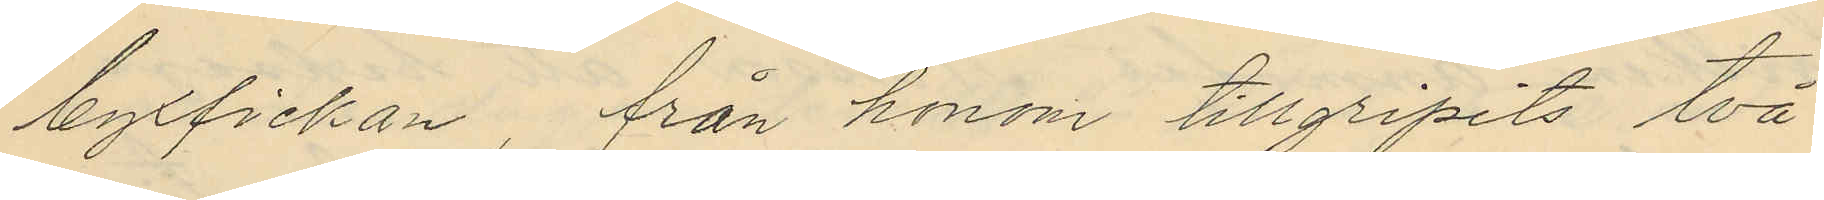byxfickan, från honom tillgripits två
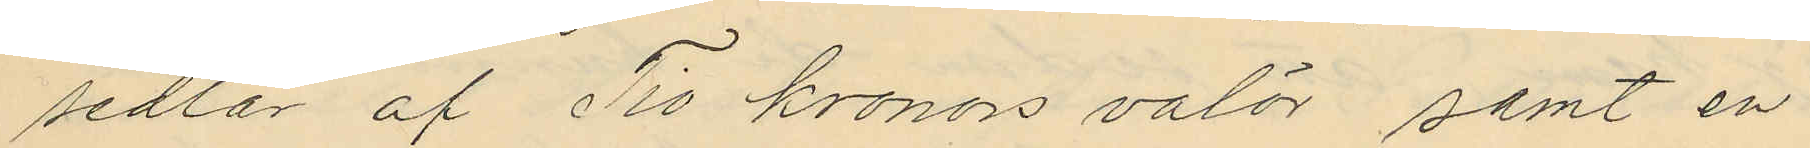sedlar af Tio kronors valör samt en
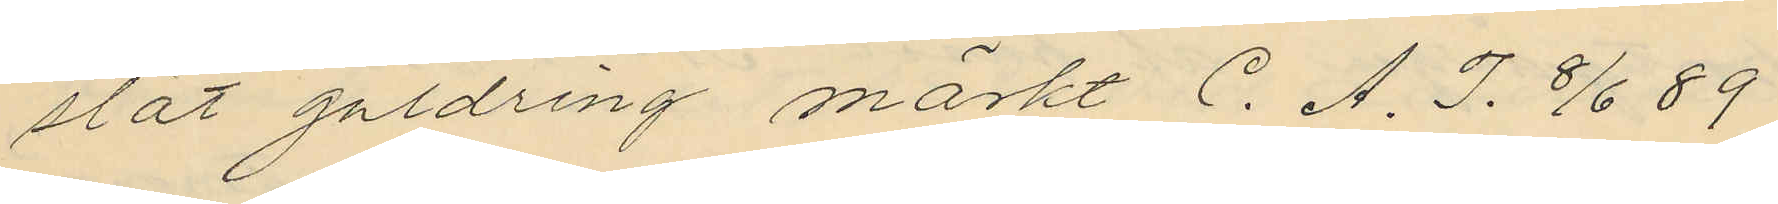slat guldring märkt C. A. J. 8/6 89
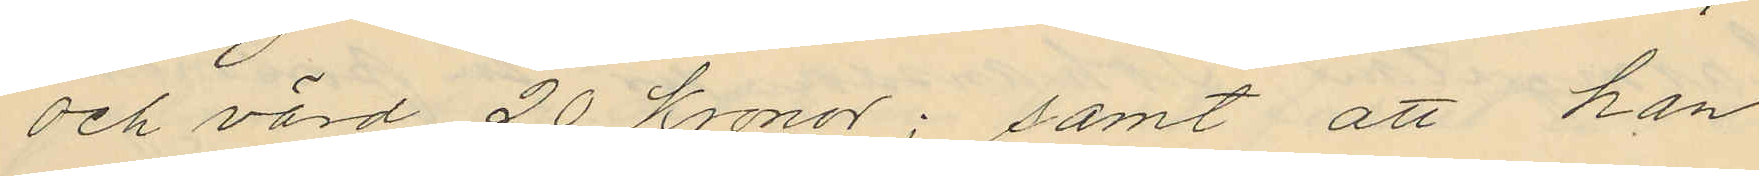och värd 20 kronor; samt att han
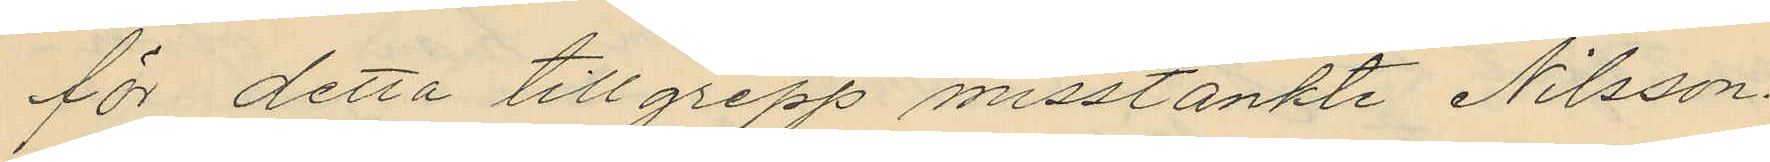för detta tillgrepp misstänkte Nilsson.
